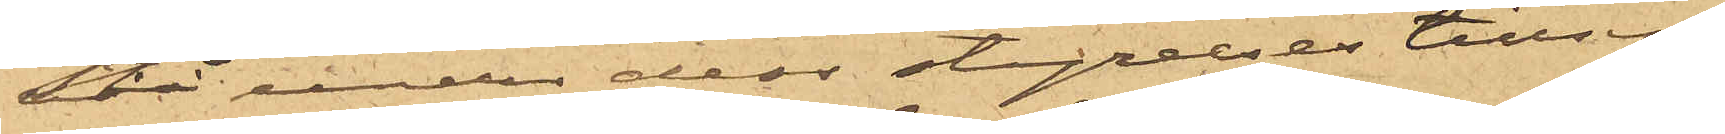stå under dess styrelses tillsyn.
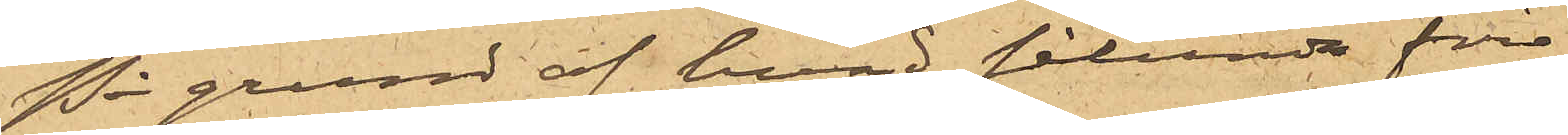På grund af hvad sålunda före¬
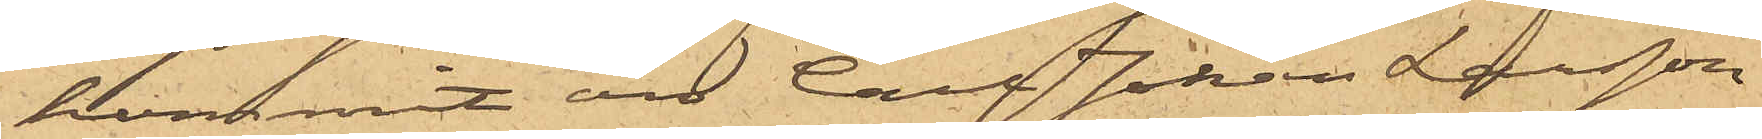kommit är Carl Johan Larsson
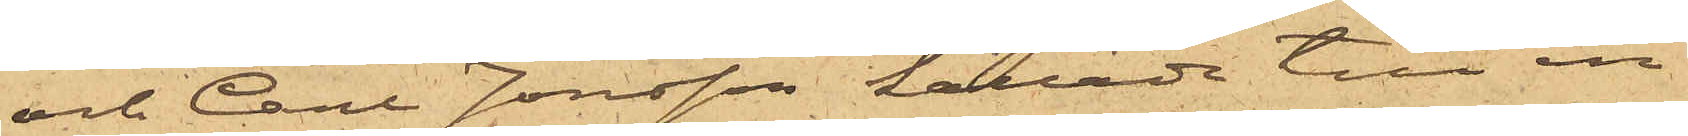och Carl Jonsson kallade till in¬
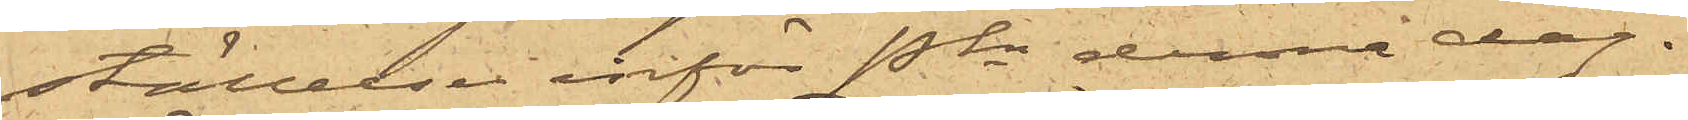ställelse inför Pkn denna dag.
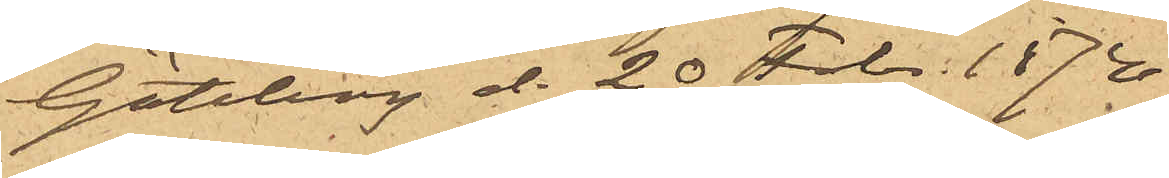Göteborg d. 20 Febr. 1874.
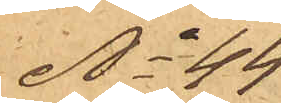No 44
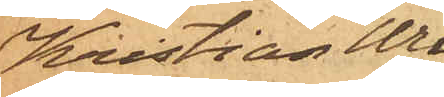Kristian Wil¬
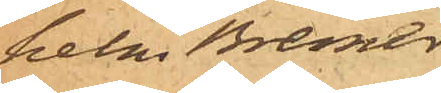helm Bremer
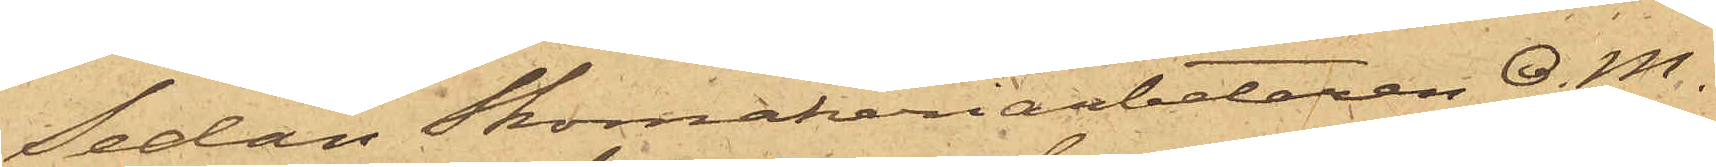Sedan Skomakeriarbetaren O. M..
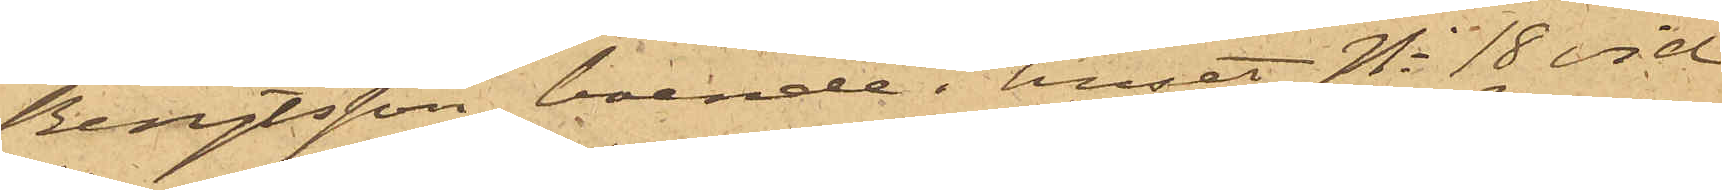Bengtsson, boende i huset No 18 vid
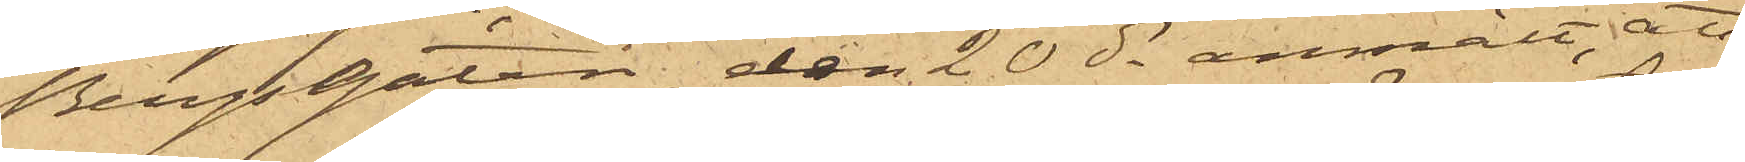Bergsgatan, den 20 ds anmält, att
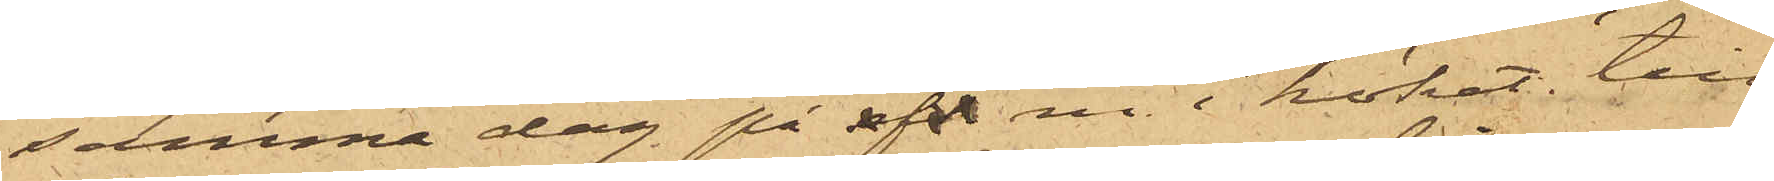samma dag på f m. i köket, till
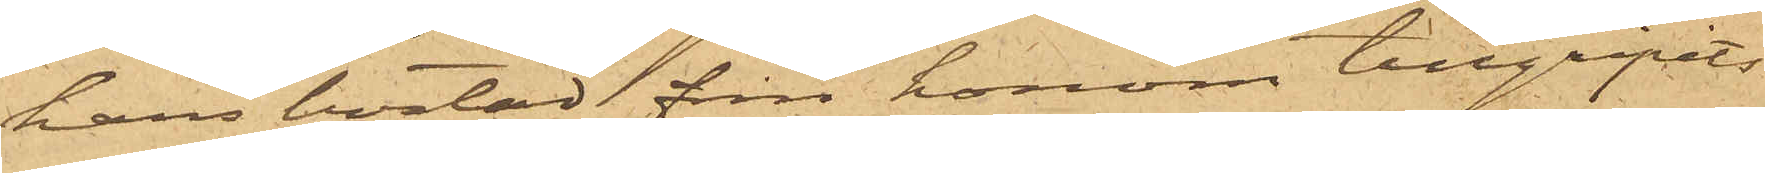hans bostad från honom tillgripits
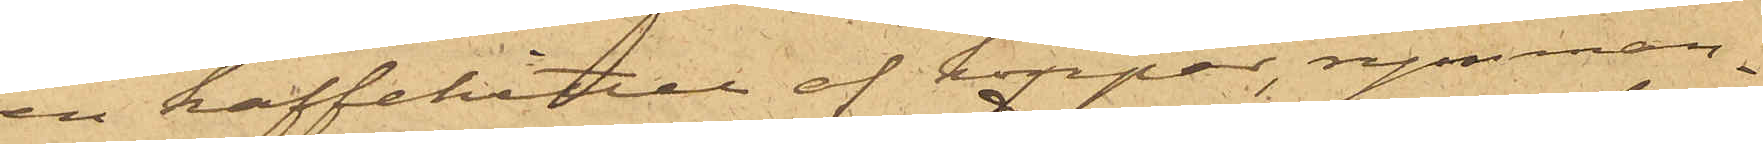en kaffekittel af koppar, rymman¬
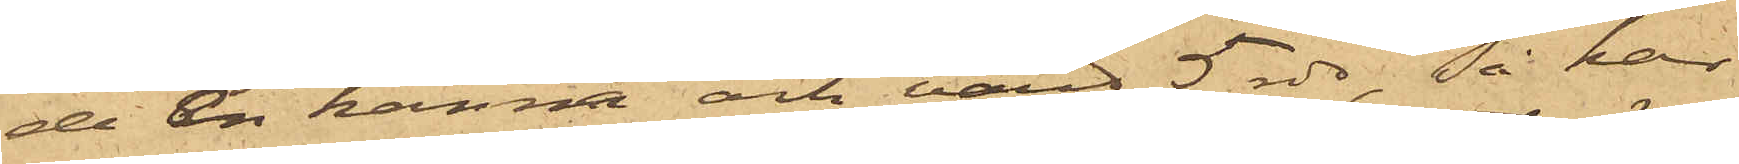de En kanna och värd 5 rdr, så har
